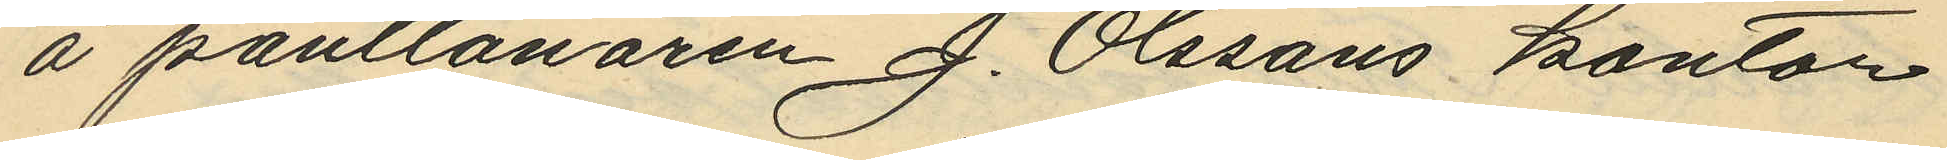å pantlånaren J. Olssons kontor
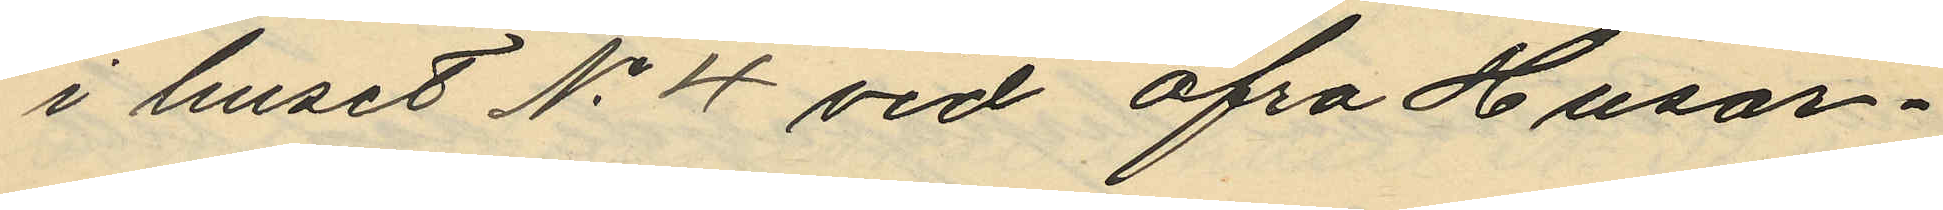i huset No 4 vid Öfre Husar¬
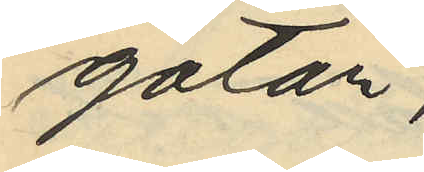gatan;
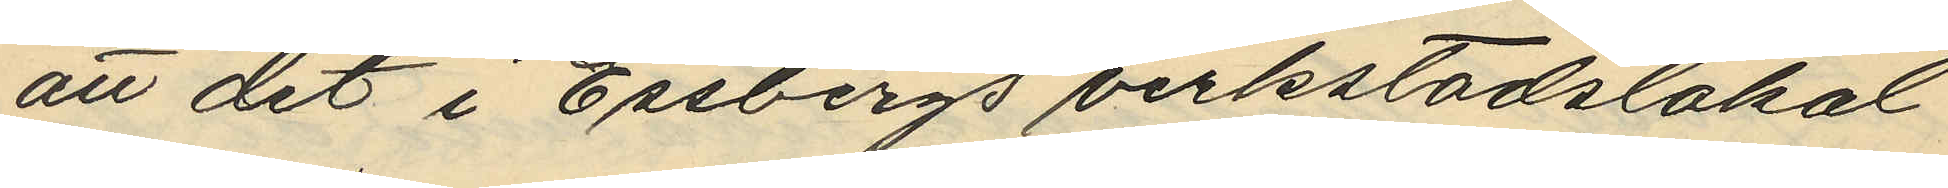att det i Essbergs verkstadslokal
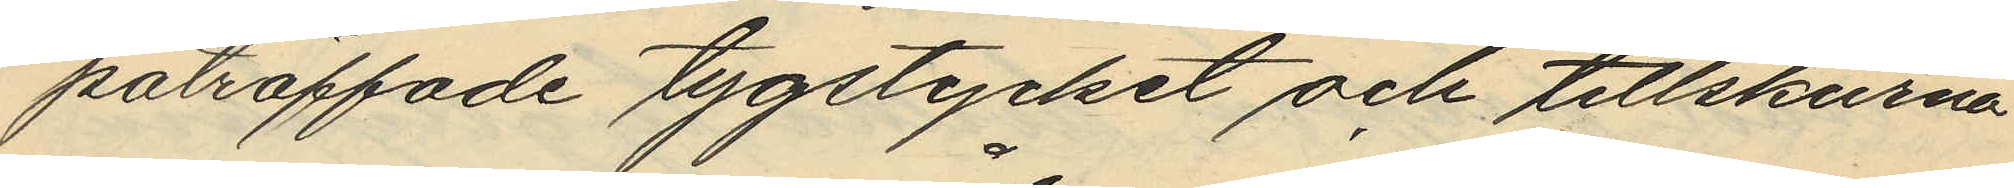påträffade tygstycket och tillskurna
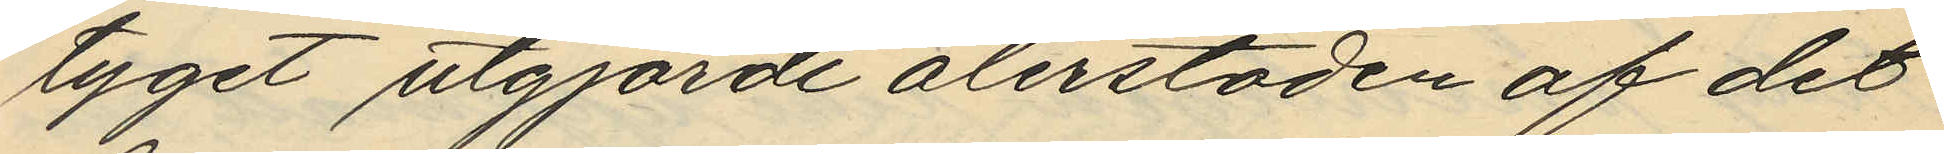tyget utgjorde återstoden af det
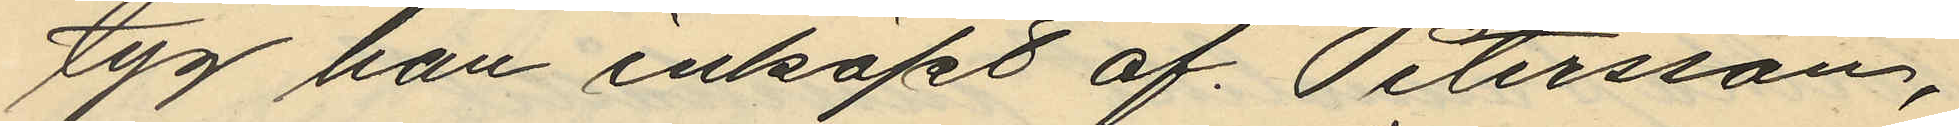tyg han inköpt af Petersson,
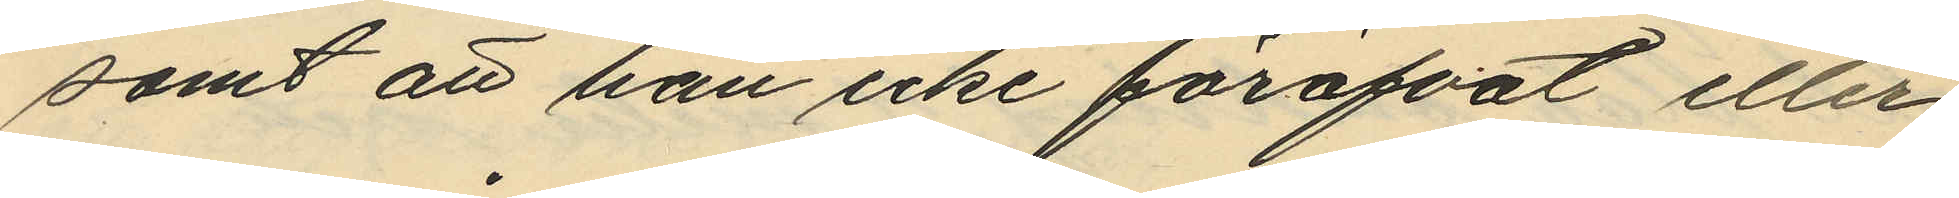samt att han icke föröfvat eller
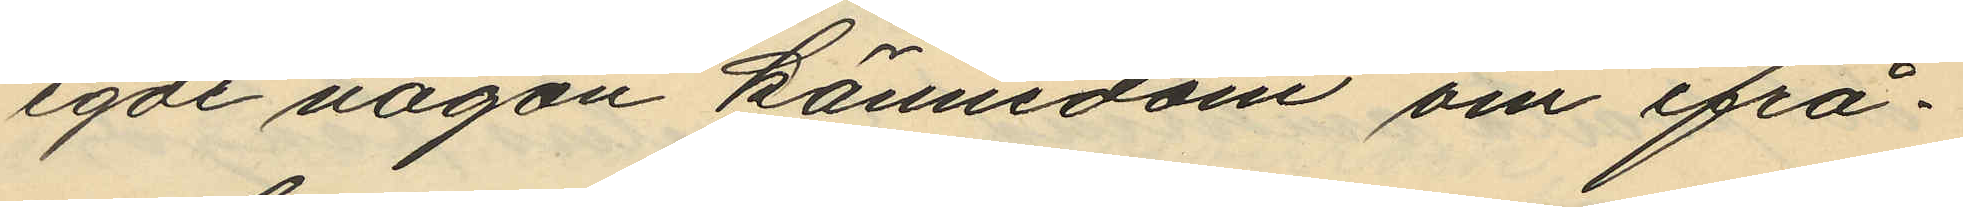egde någon kännedom om ifrå¬
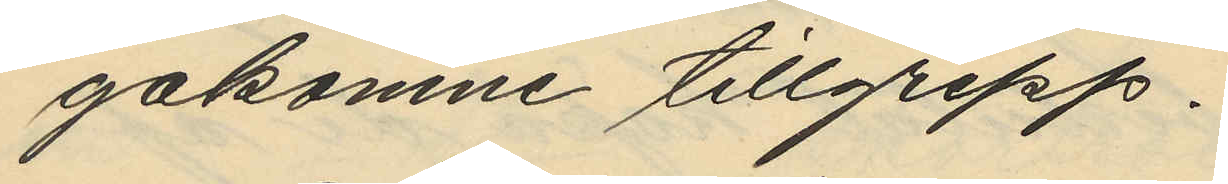gakomne tillgrepp.
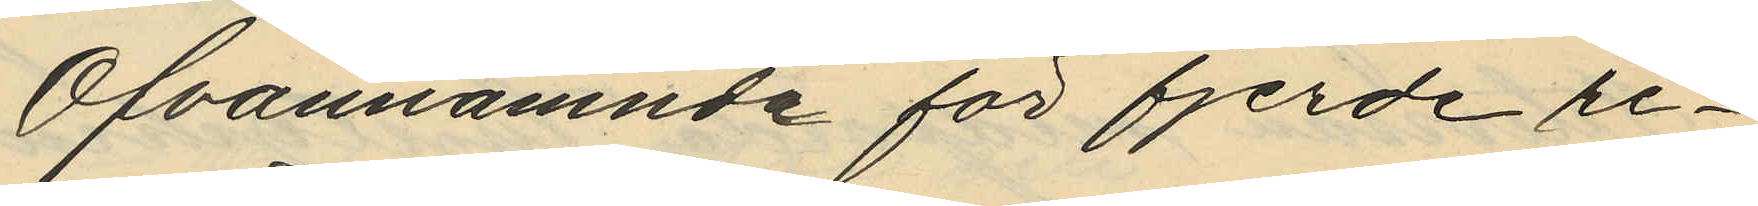Ofvannämnde för fjerde re¬
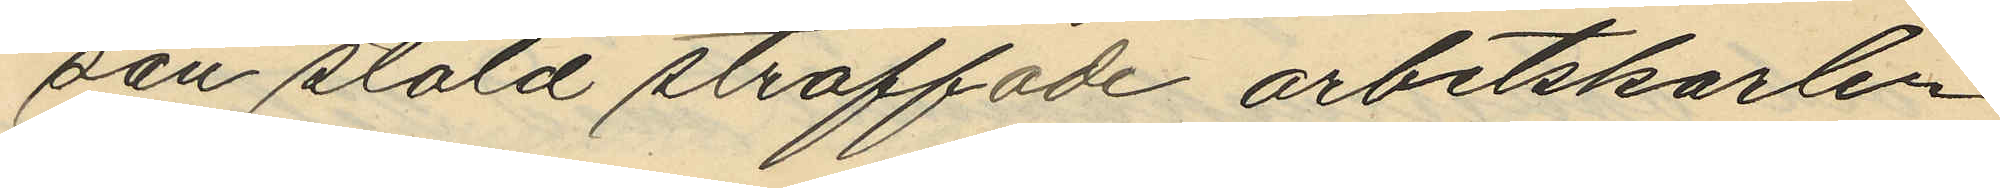san stöld straffade arbetskarlen
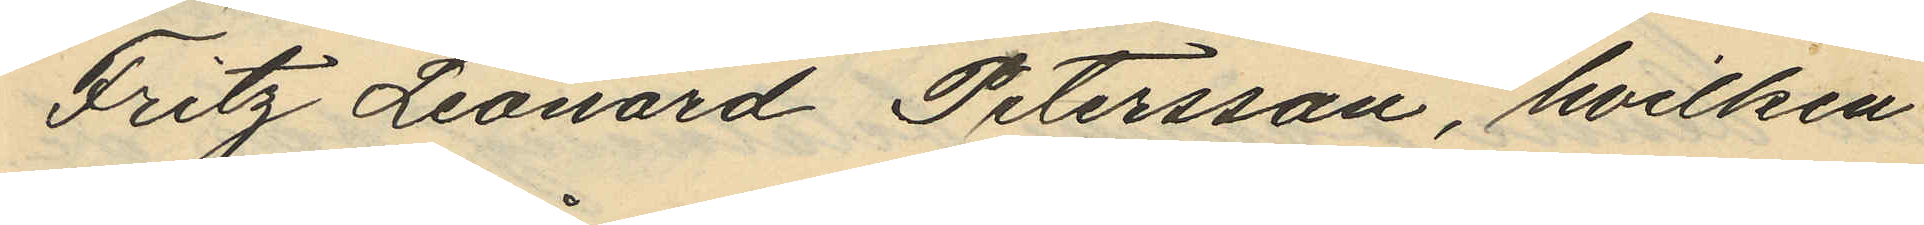Fritz Leonard Petersson, hvilken
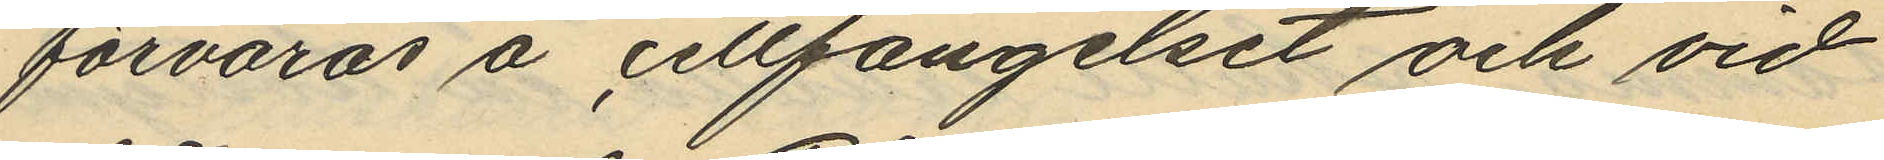förvaras å cellfängelset och vid
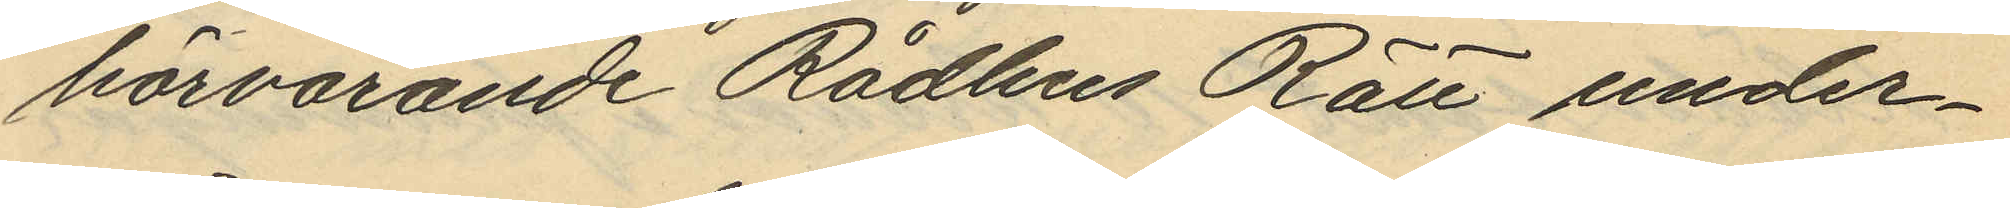härvarande Rådhus Rätt under¬
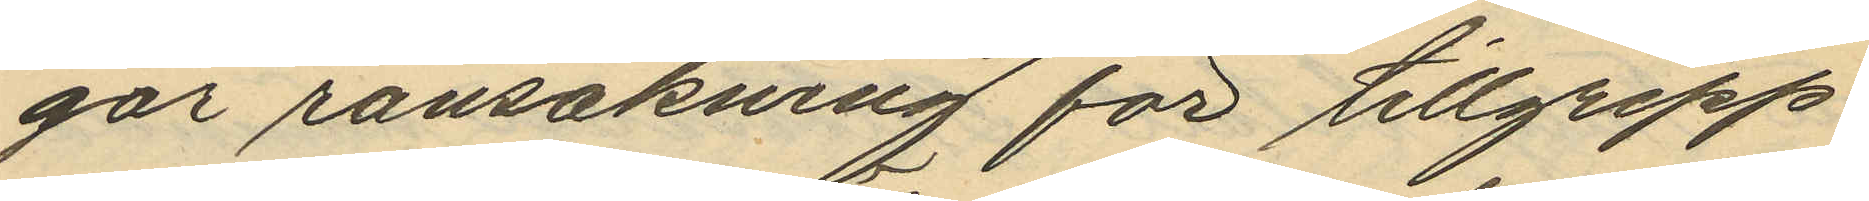går ransakning för tillgrepp
